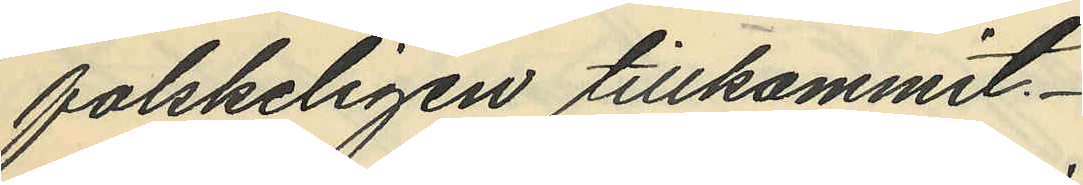falskeligen tillkommit.
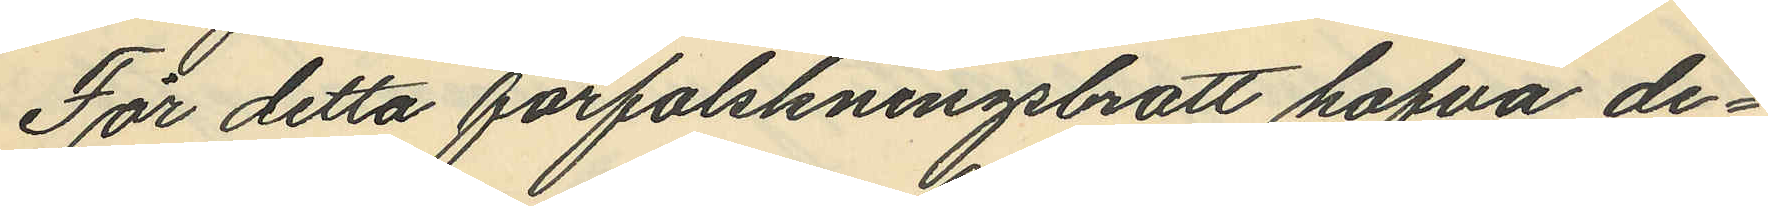För detta förfalskningsbrott hafva de¬
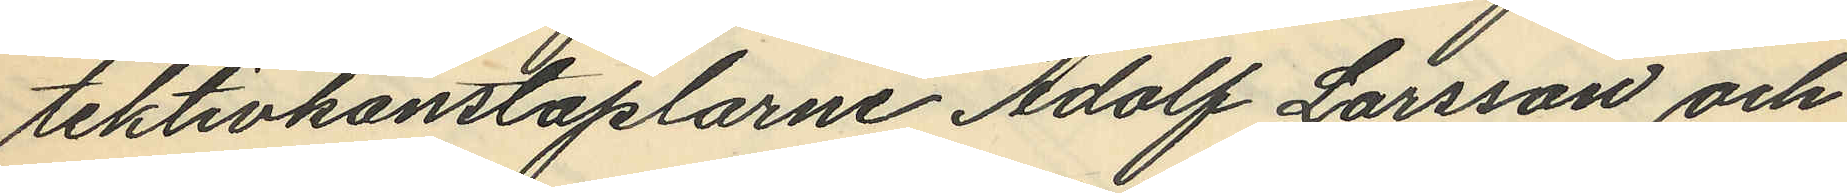tektivkonstaplarne Adolf Larsson och
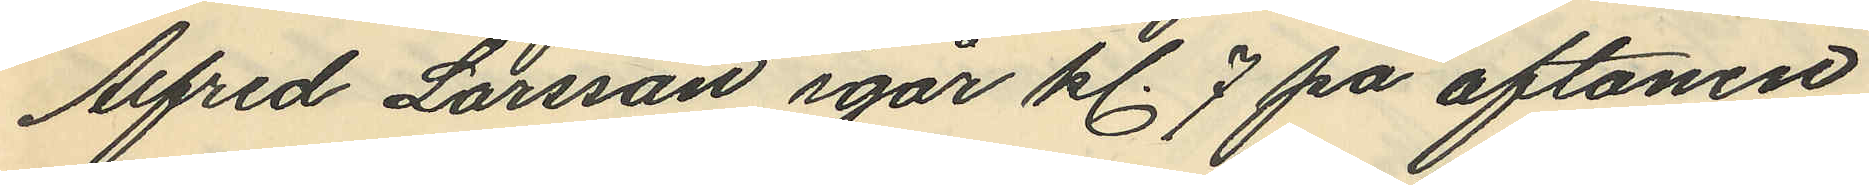Alfred Larsson igår kl. 7 på aftonen
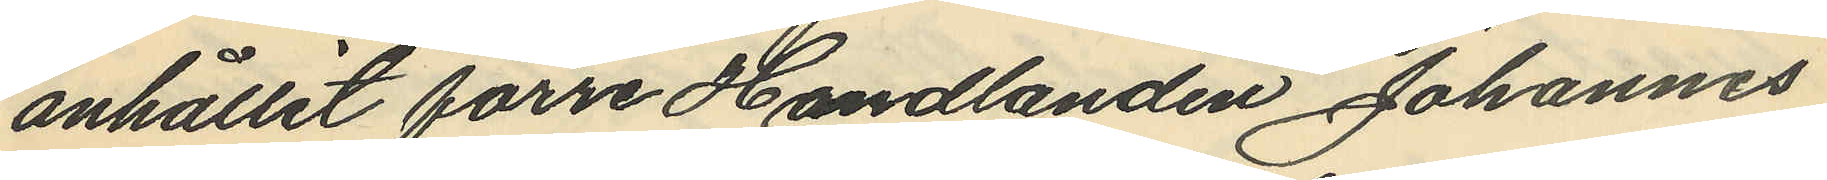anhållit förre Handlanden Johannes
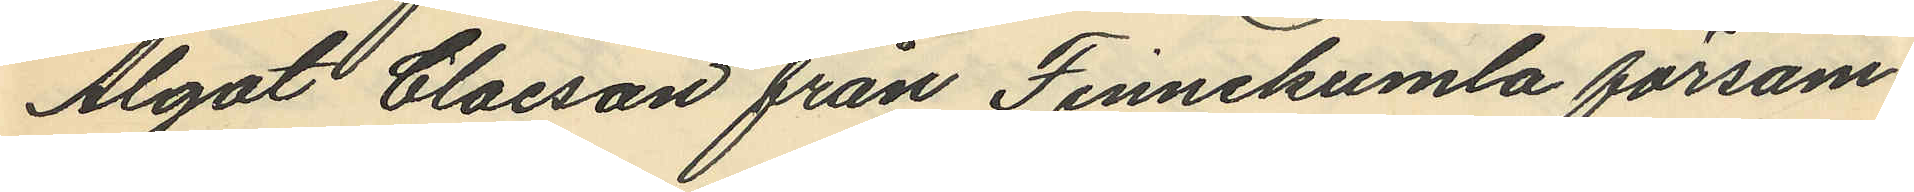Algot Claeson från Finnekumla försam¬
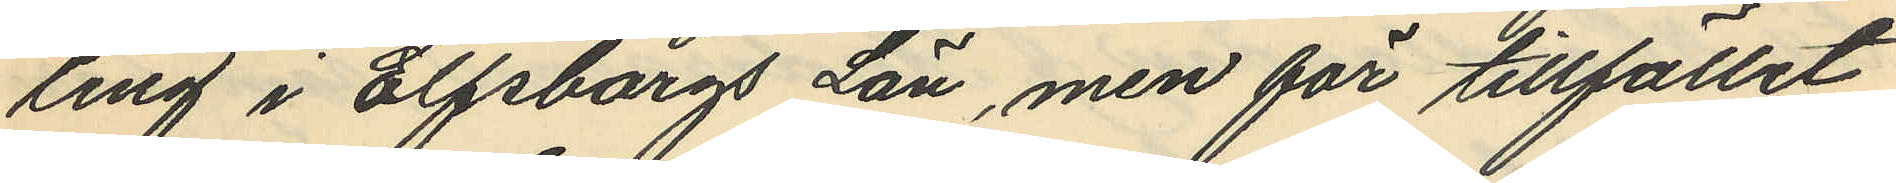ring i Elfsborgs Län, men för tillfället
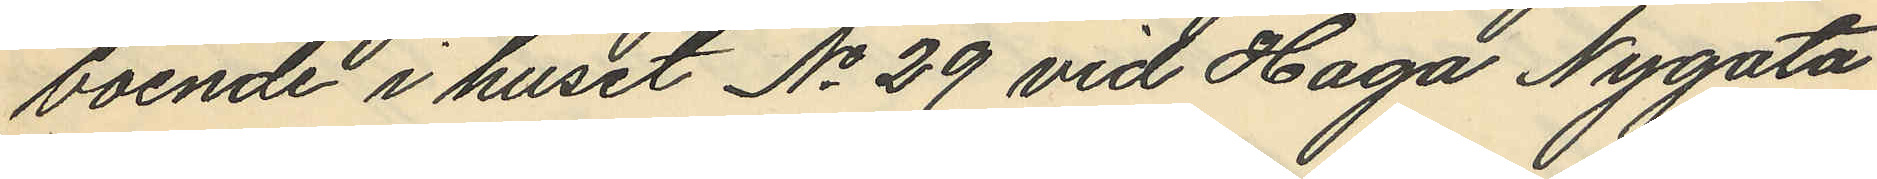boende i huset No 29 vid Haga Nygata
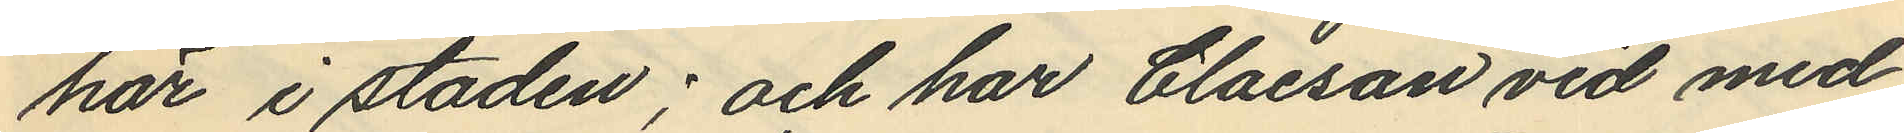här i staden; och har Claeson vid med
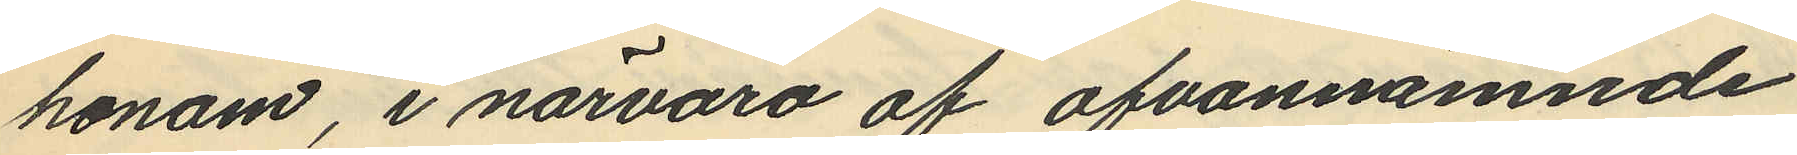honom, i närvaro af ofvannämnde
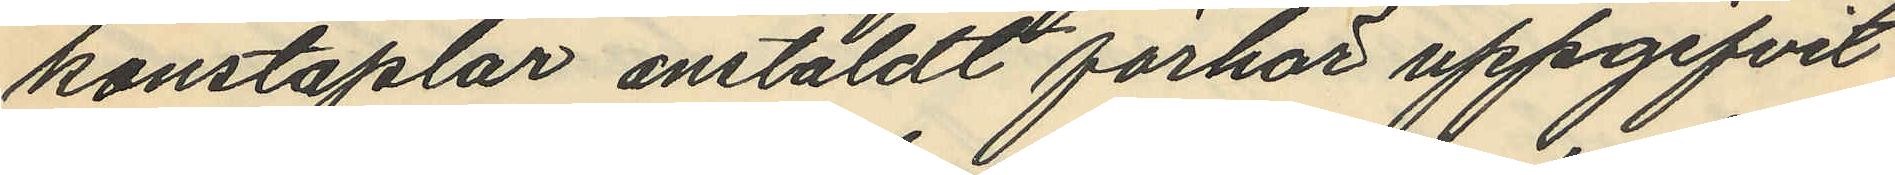konstaplar anstäldt förhör uppgifvit
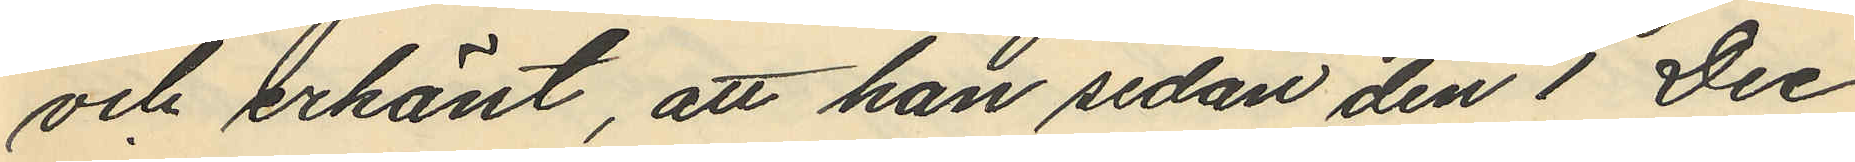och erkänt, att han sedan den 1 Dec
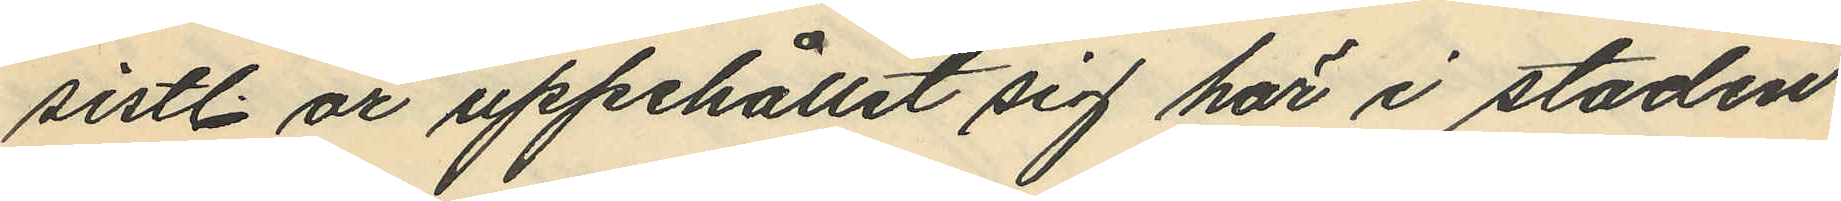sistl. år uppehållit sig här i staden
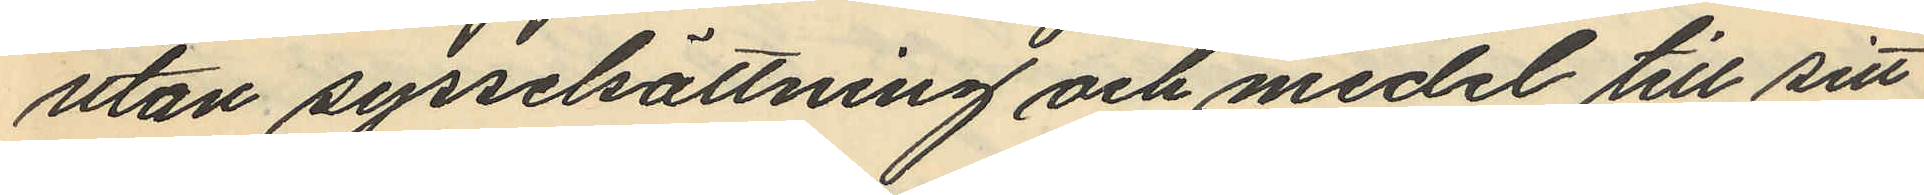utan sysselsättning och medel till sitt
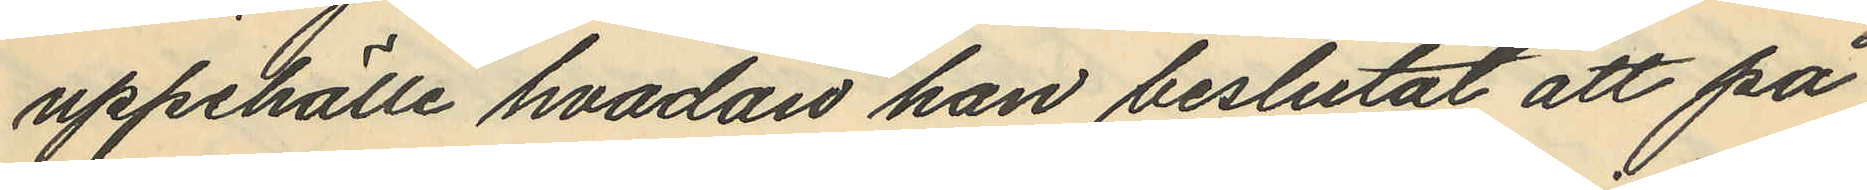uppehälle hvadan han beslutat att på
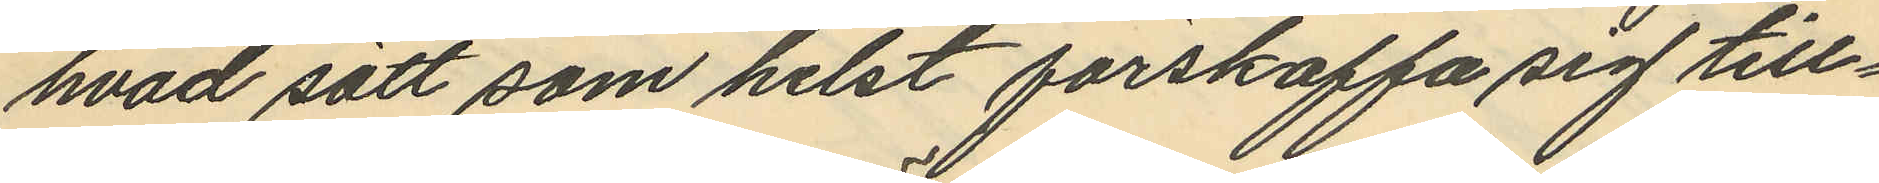hvad sätt som helst förskaffa sig till¬
